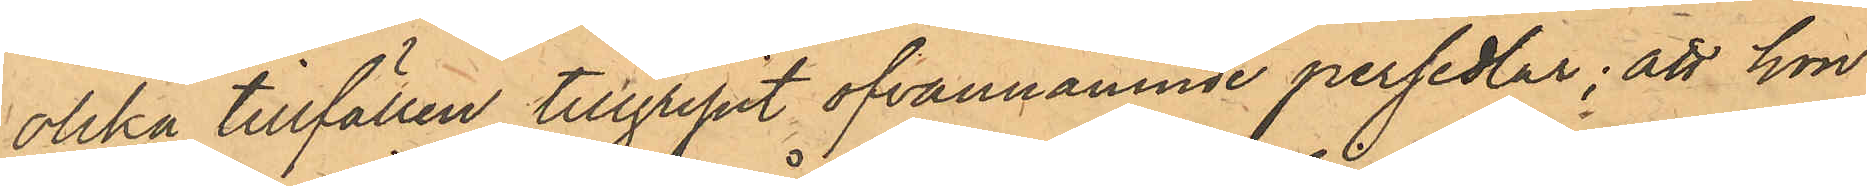olika tillfällen tillgripit ofvannämnde persedlar; att hon
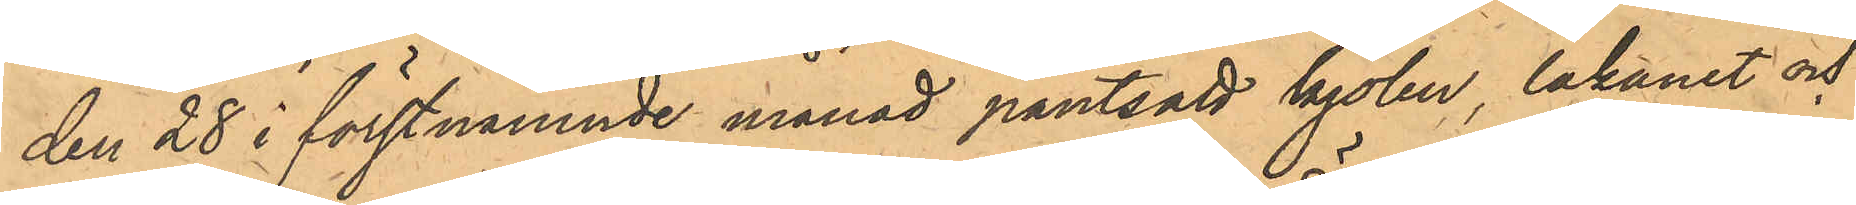den 28 i förstnämnde månad pantsatt kjolen, lakanet och
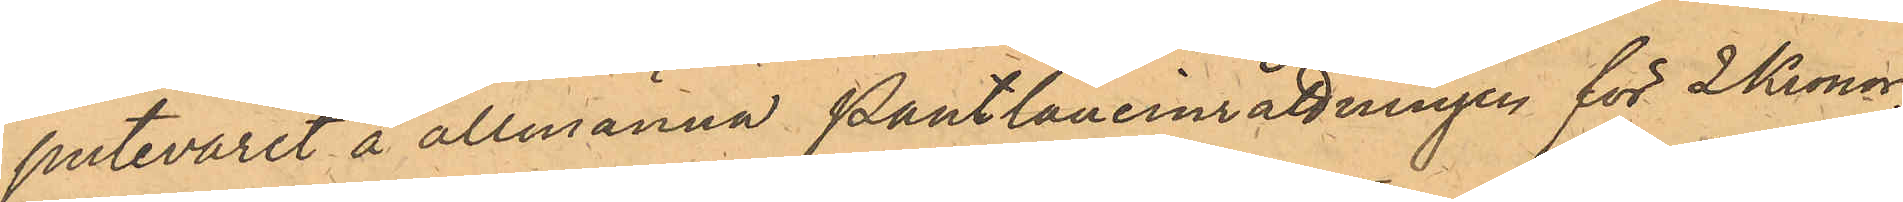putevaret å allmänna Pantlåneinrättningen för 2 Kronor;
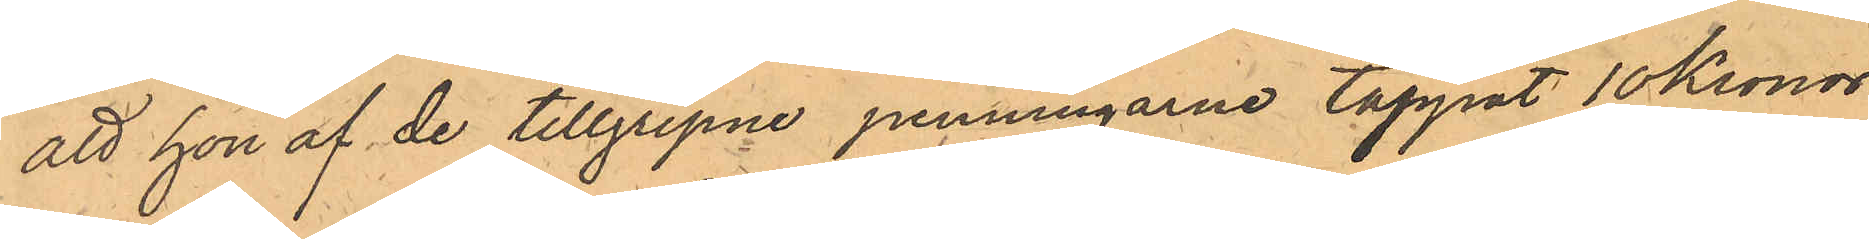att hon af de tillgripne penningarne tappat 10 kronor
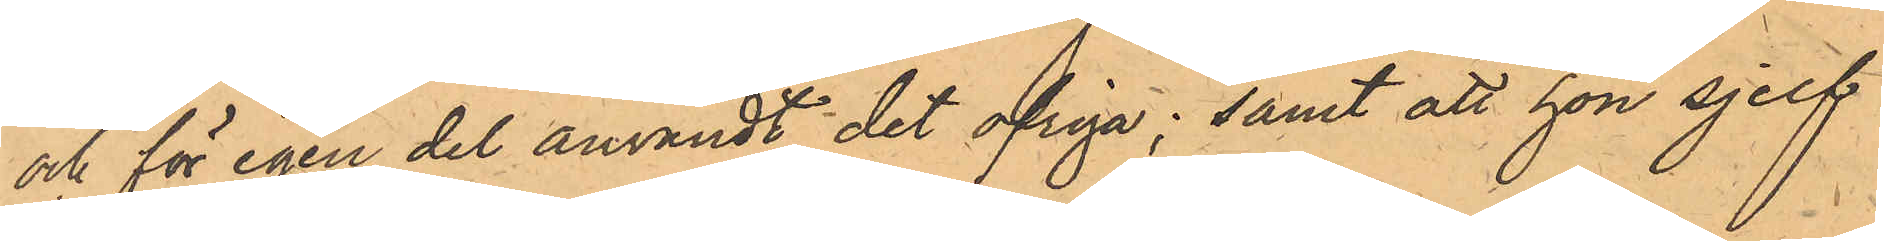och för egen del användt det ofriga; samt att hon sjelf
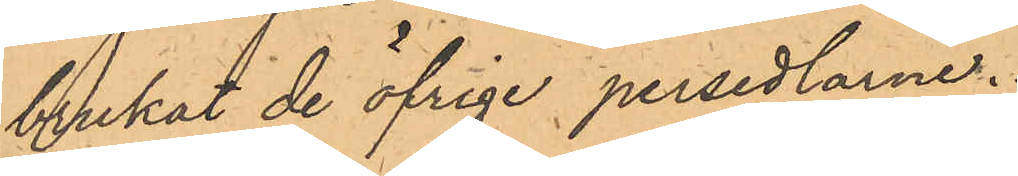brukat de öfrige persedlarne.
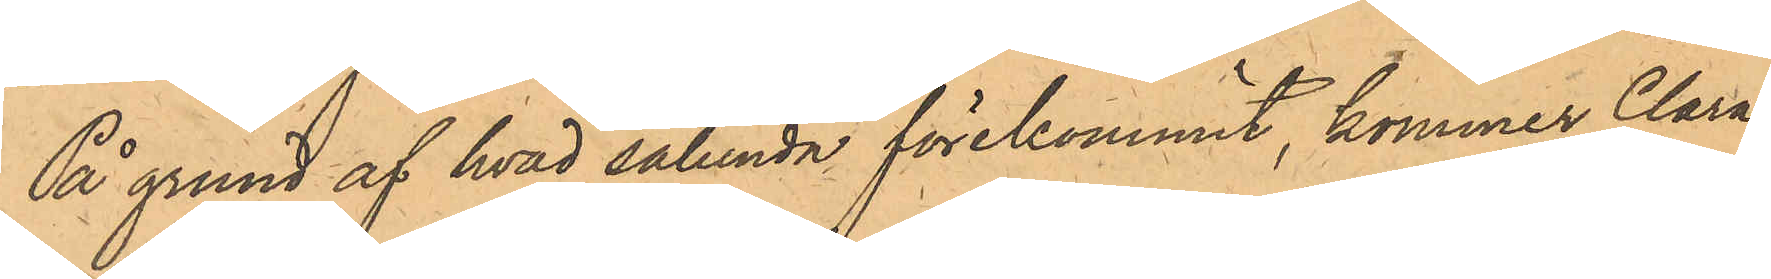På grund af hvad sålunda förekommit, kommer Clara
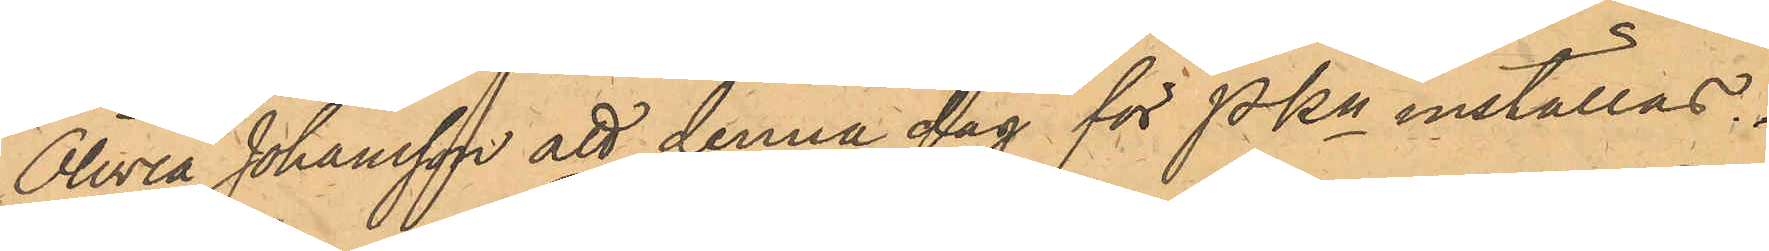Olivia Johansson att denna dag för PKn inställas.
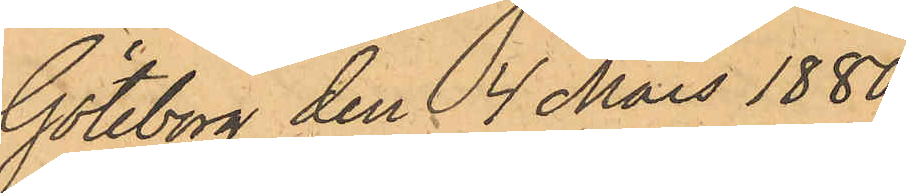Göteborg den 4 Mars 1880.
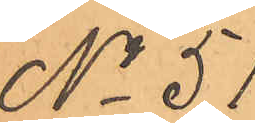No 51.
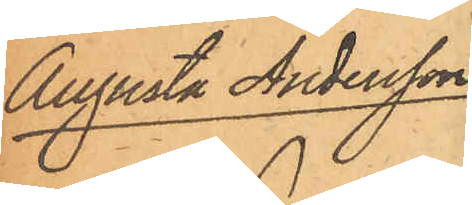Augusta Andersson
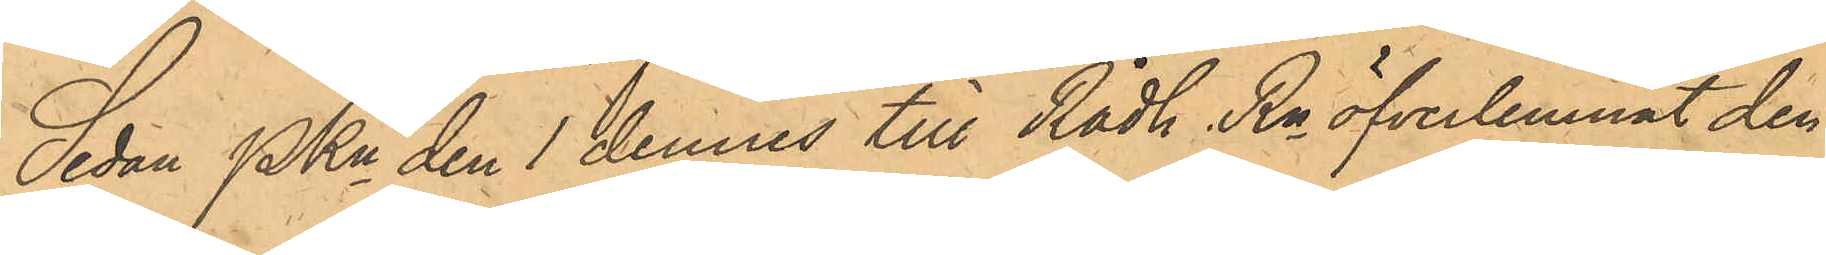Sedan PKn den 1 dennes till Rådh. Rn öfverlemnat den
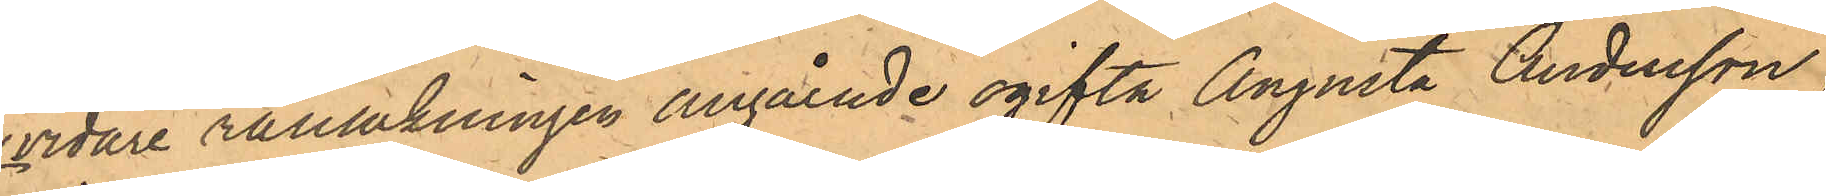vidare rannsakningen angående ogifta Augusta Andersson,
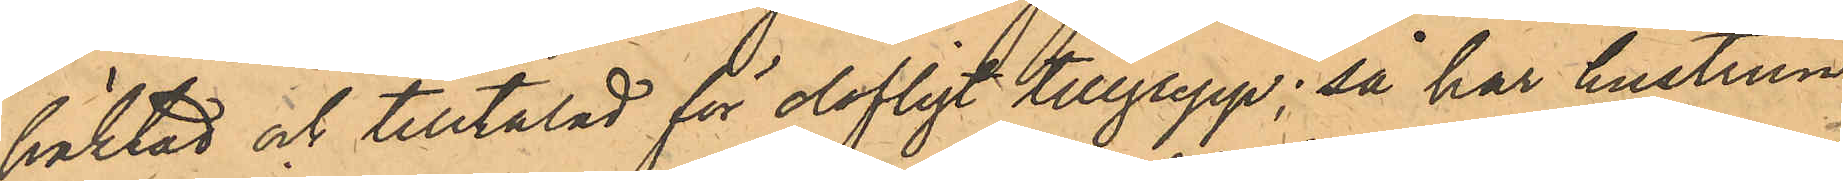häktad och tilltalad för olofligt tillgrepp; så har hustrun
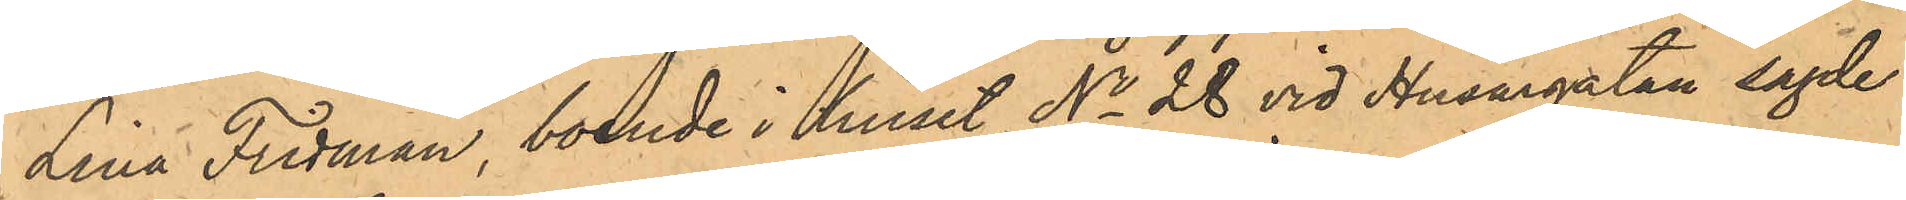Lina Fridman, boende i huset No 28 vid Husargatan sagde
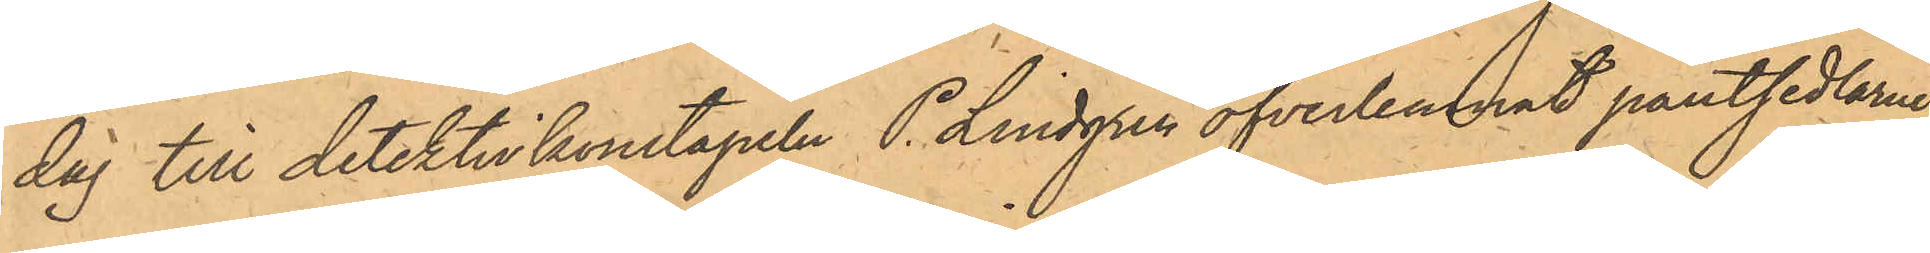dag till detektivkonstapeln P. Lindgren öfverlemnat pantsedlarne 
